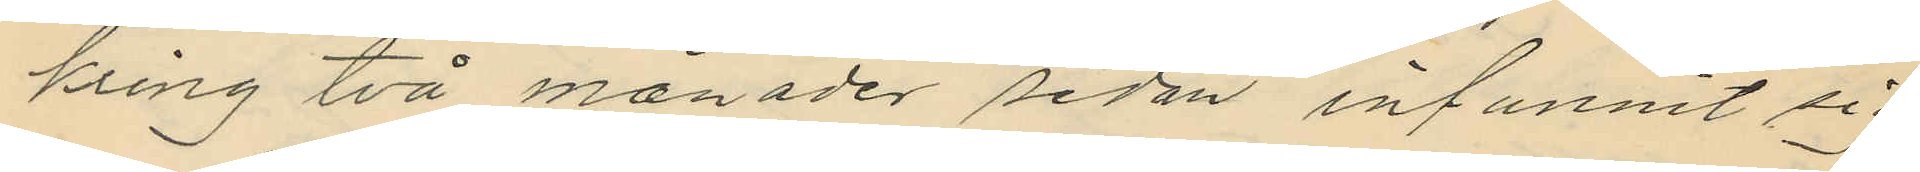kring två månader sedan infunnit sig
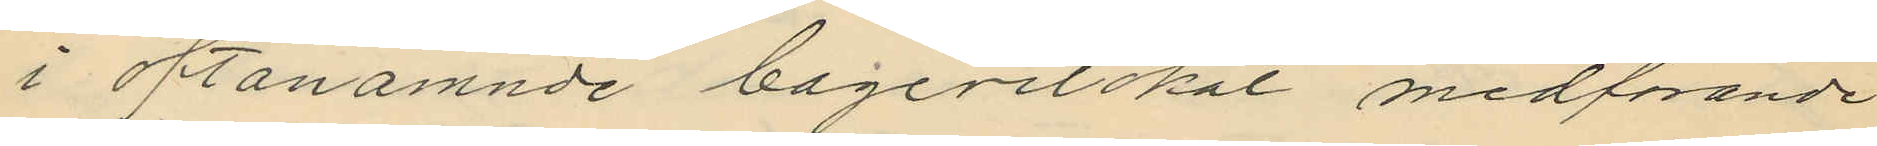i oftanämnde bagerilokal medförande
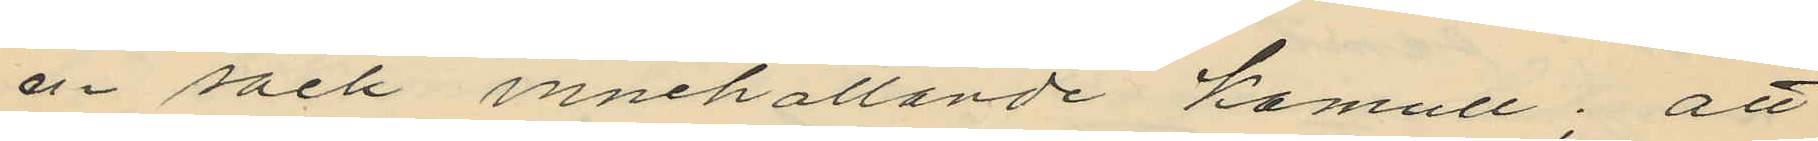en säck innehållande kamull; att
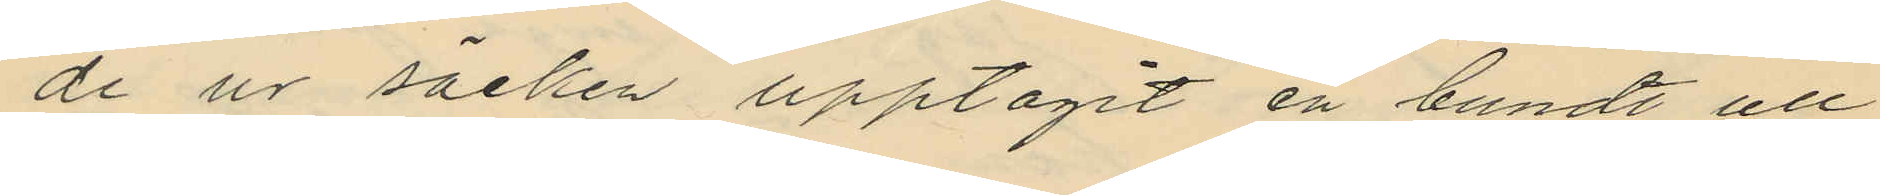de ur säcken upptagit en bundt ull
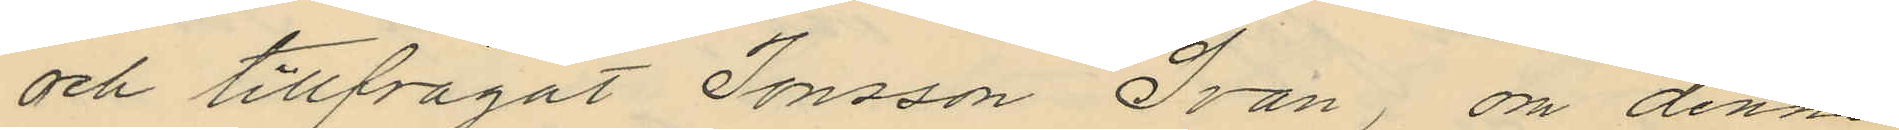och tillfrågat Jonsson Svan, om denne
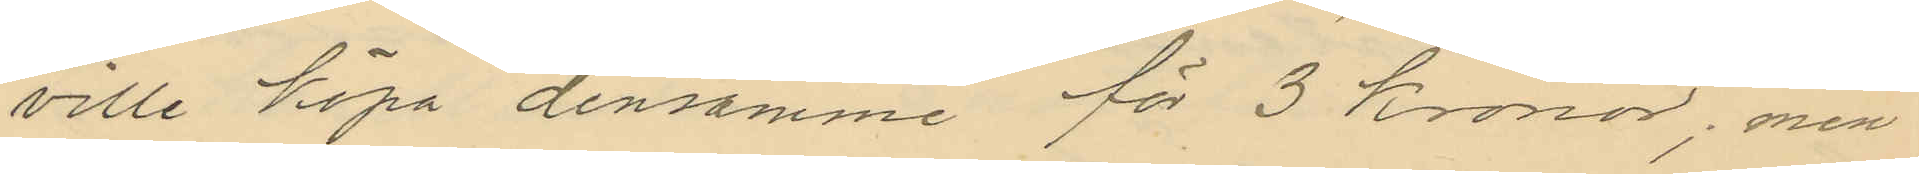ville köpa densamme för 3 kronor; men
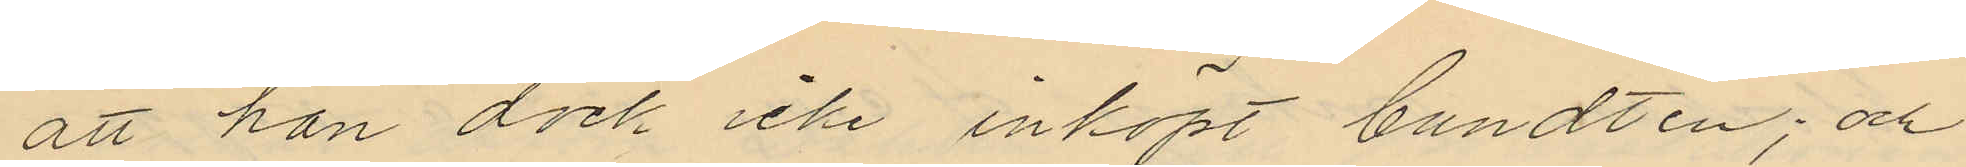att han dock icke inköpt bundten; och
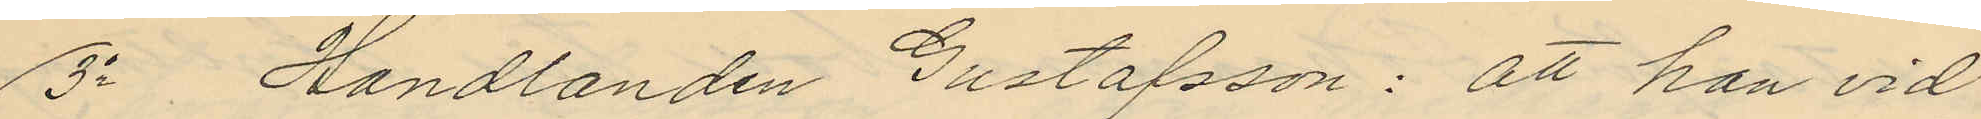3o Handlanden Gustafsson: att han vid
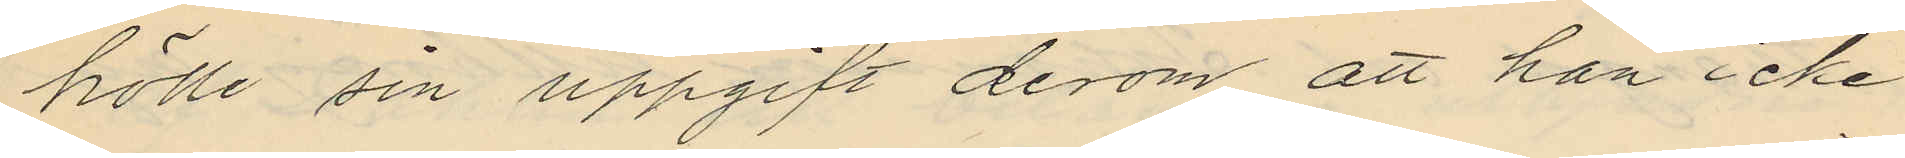hölle sin uppgift derom att han icke
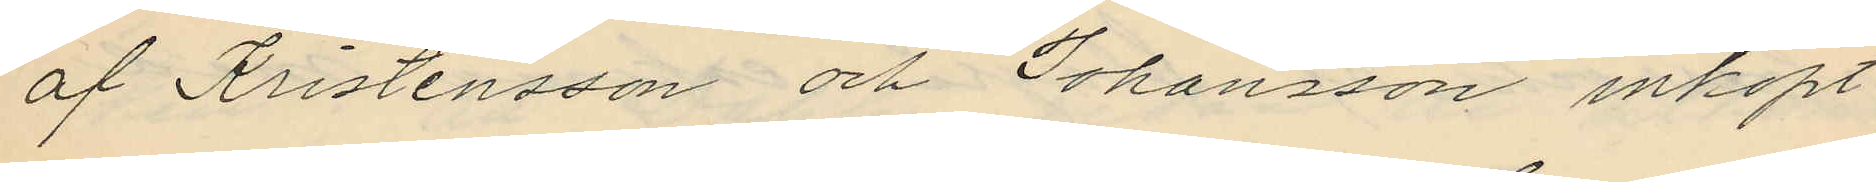af Kristensson och Johansson inköpt
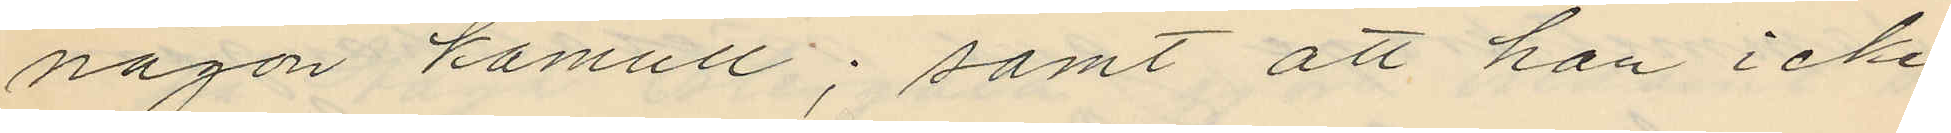någon kamull; samt att han icke
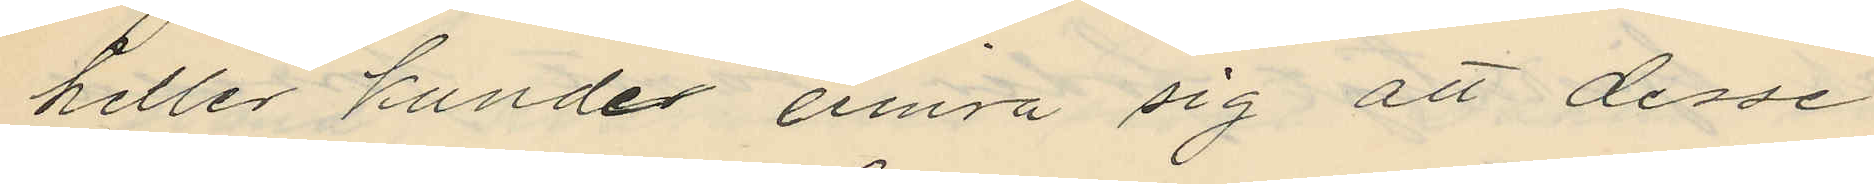heller kunde einra sig att desse
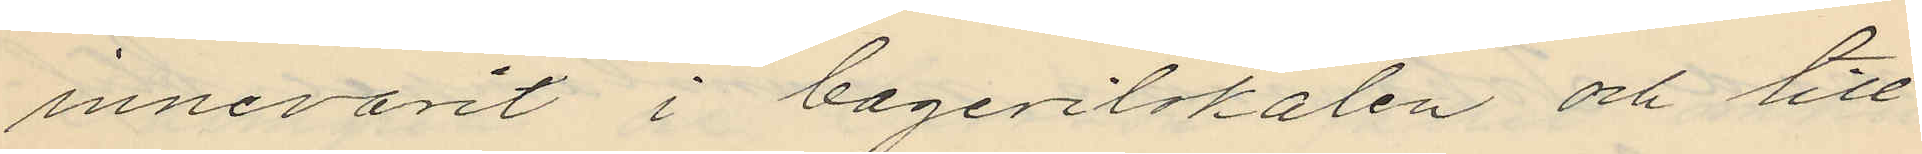innevarit i bagerilokalen och till
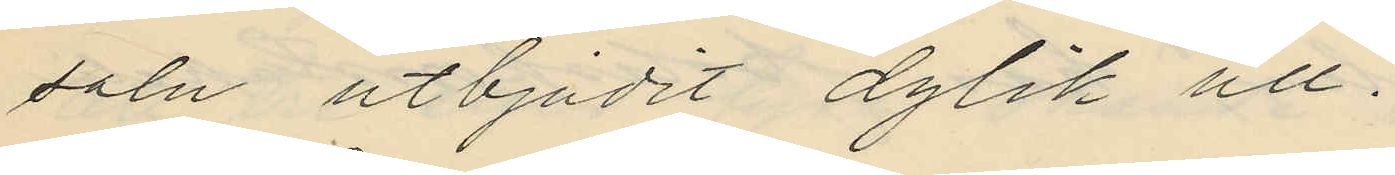salu utbjudit dylik ull.
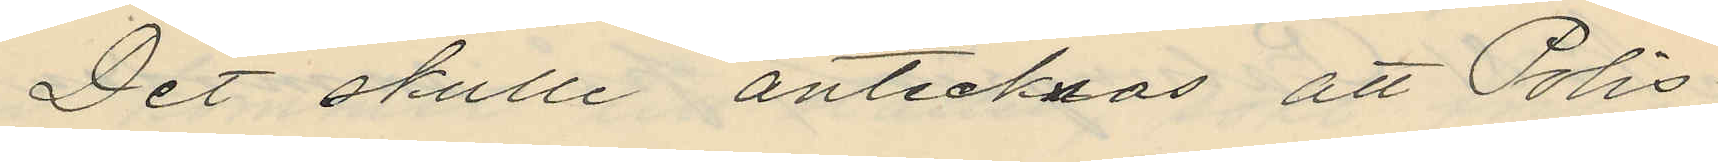Det skulle antecknas, att Polis¬
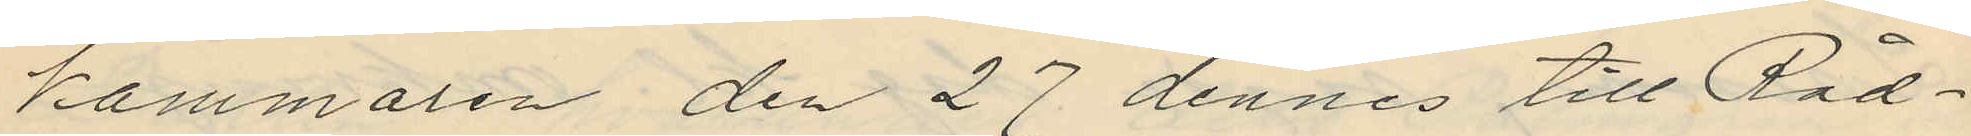kammaren den 27 dennes till Råd¬
